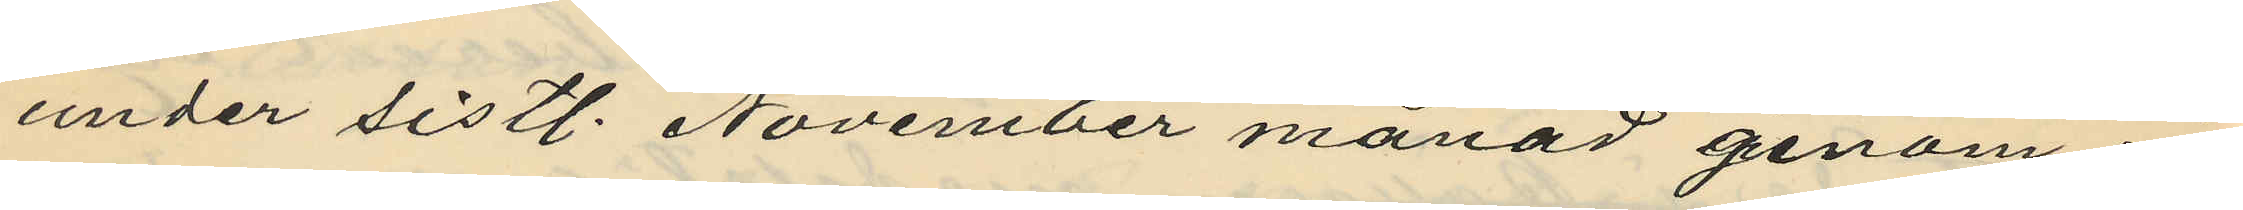under sistl. November månad genom in¬
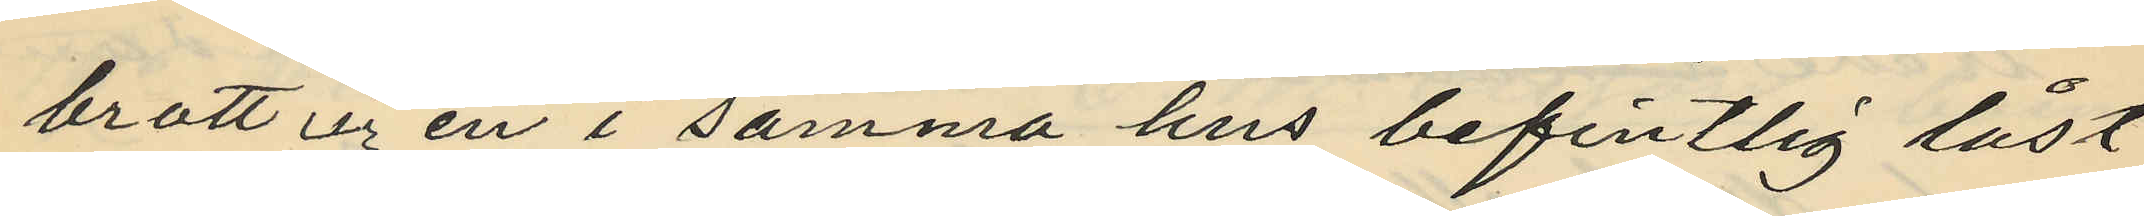brott ur en i samma hus befintlig låst
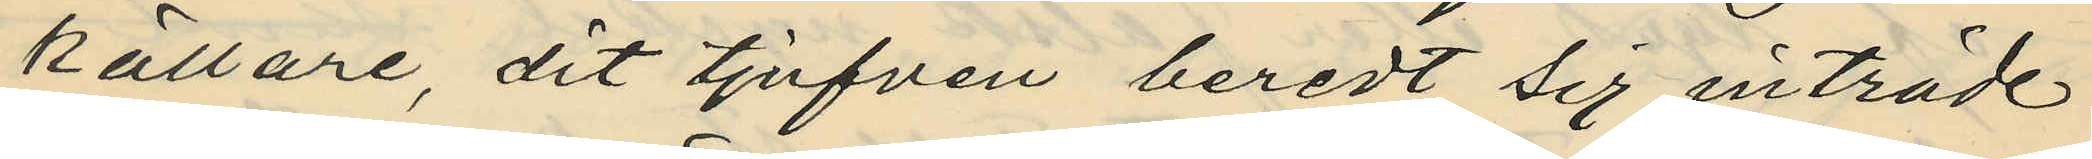källare, dit tjufven beredt sig inträde
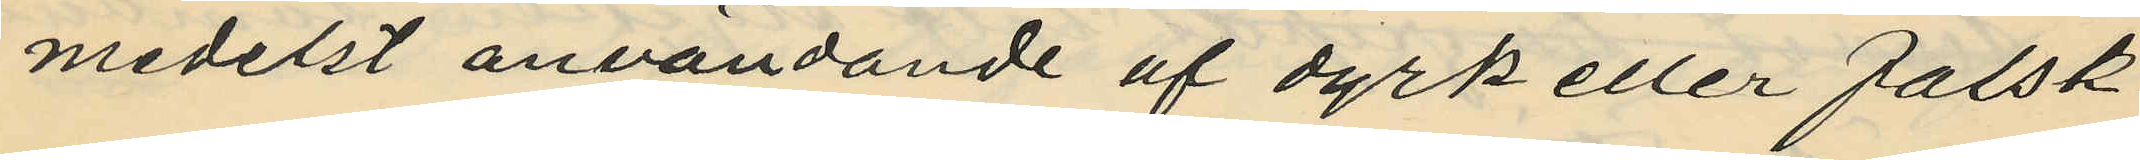medelst användande af dyrk eller falsk
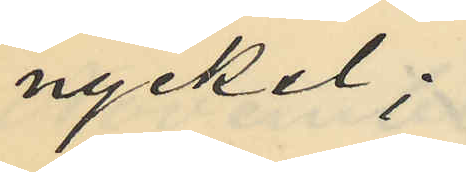nyckel;
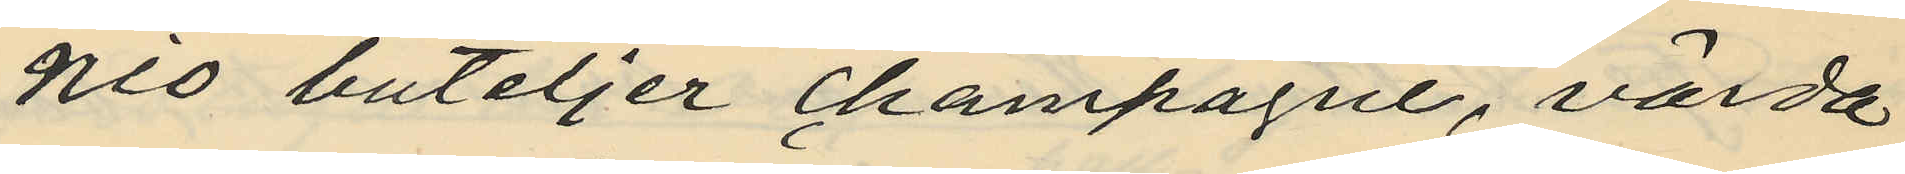nio buteljer champagne, värda
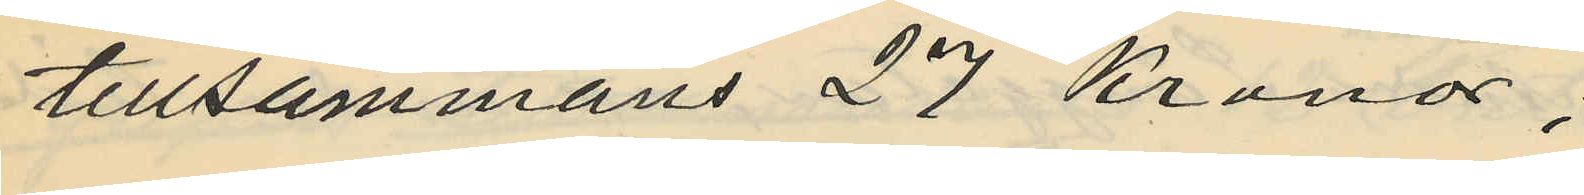tillsammans 27 Kronor;
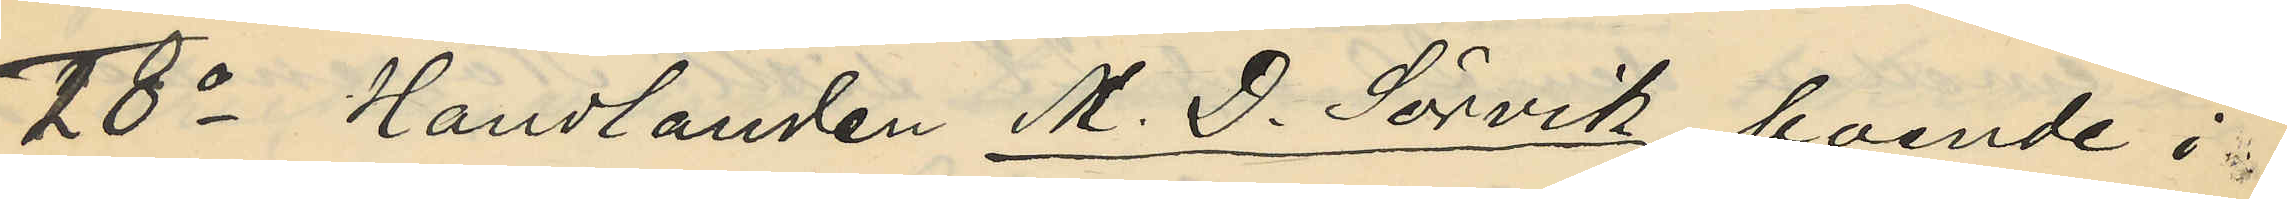18o Handlanden M. D. Sörvik, boende i
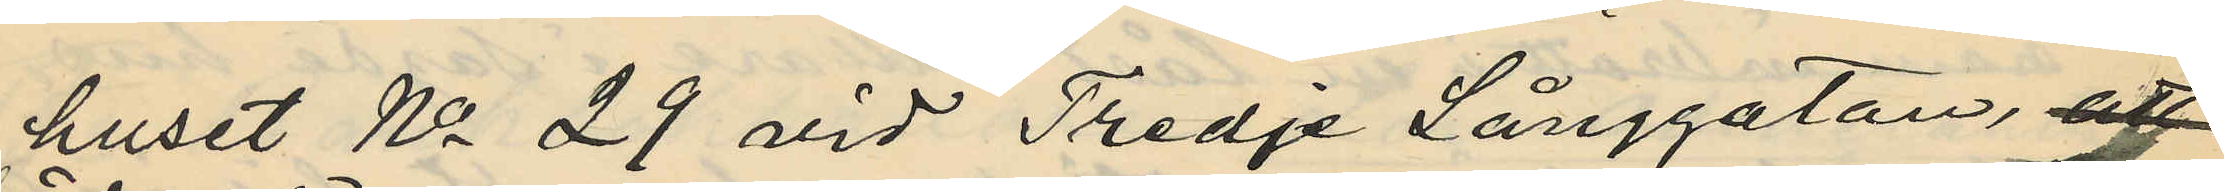huset No 29 vid Tredje Långgatan, att
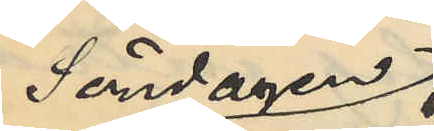Söndagen
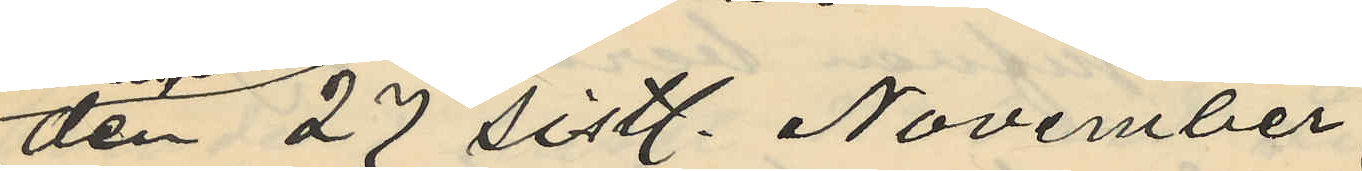den 27 sistl. November
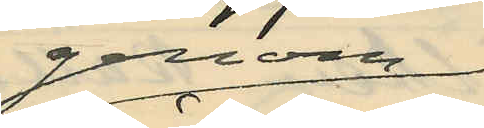genom
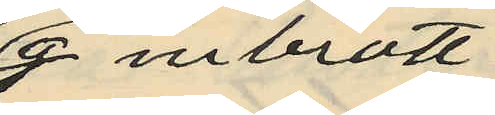inbrott
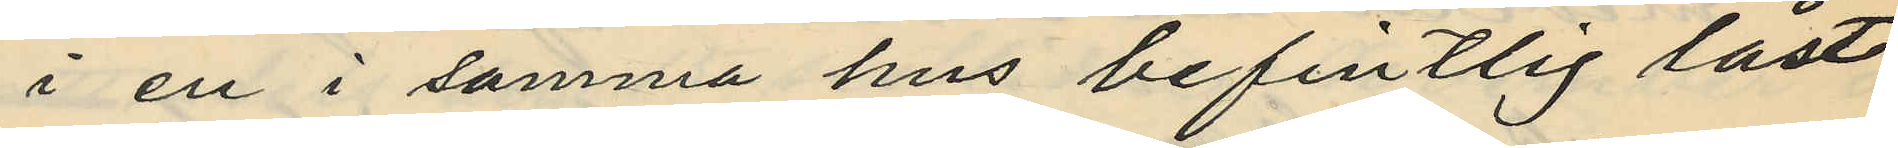i en i samma hus befintlig låst
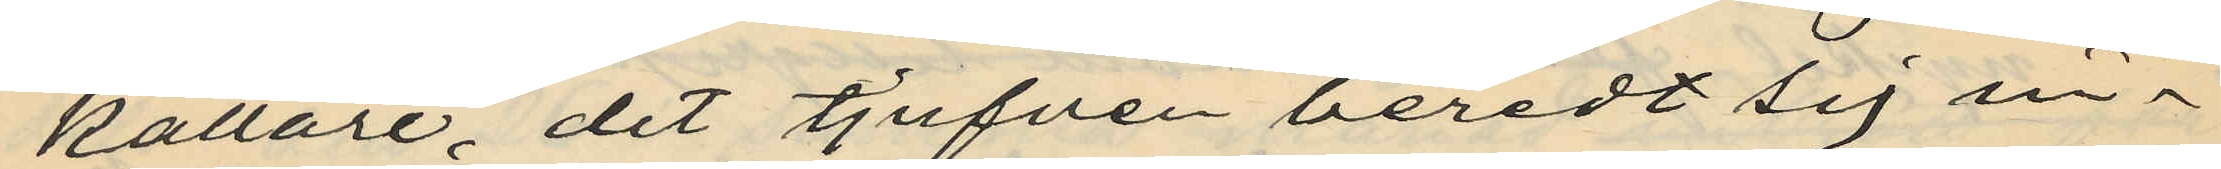källare, dit tjufven beredt sig in¬
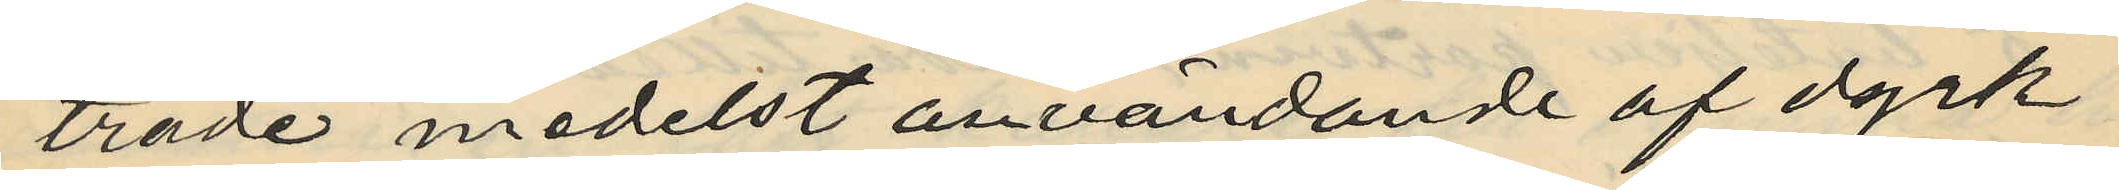träde medelst användande af dyrk
